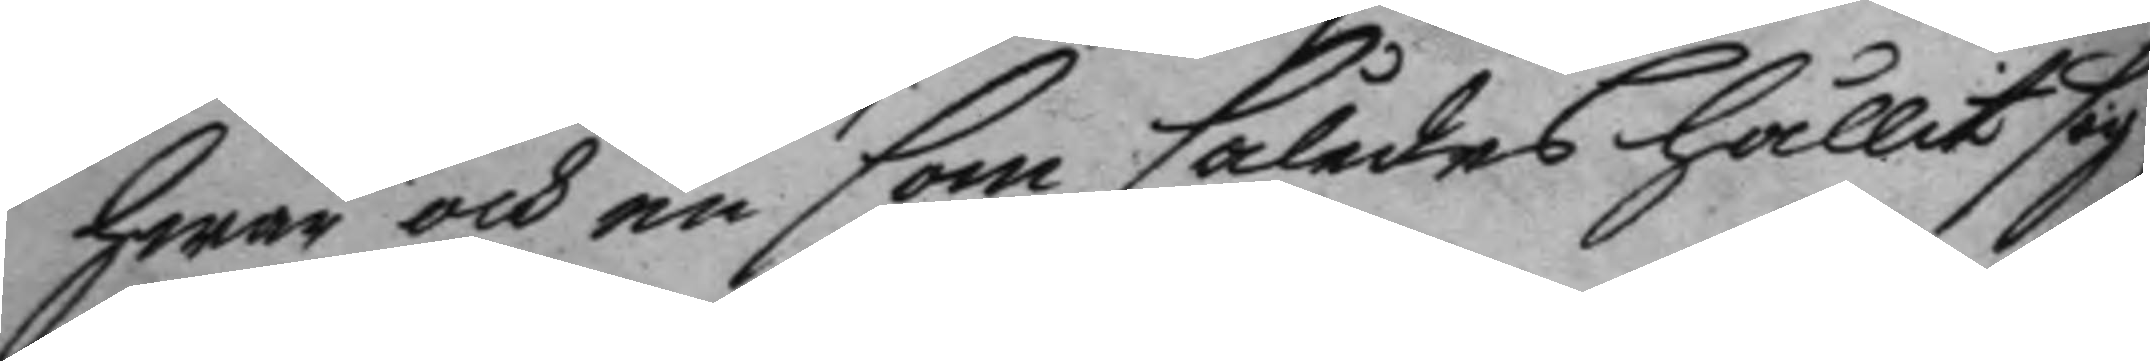hwar och en som således hålit sig
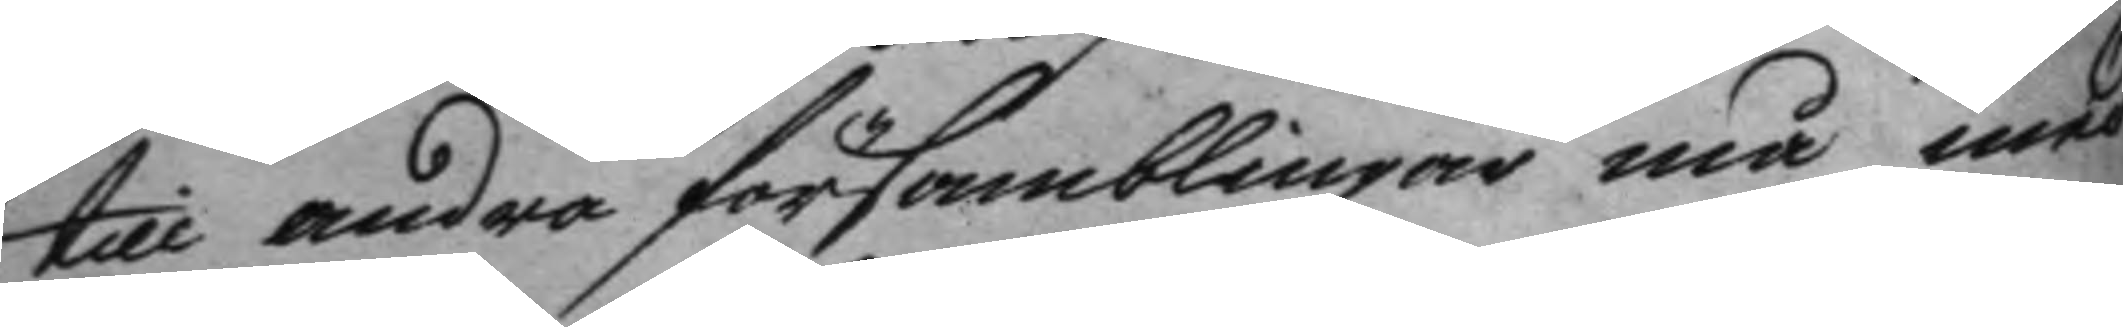till andra församblingar må med
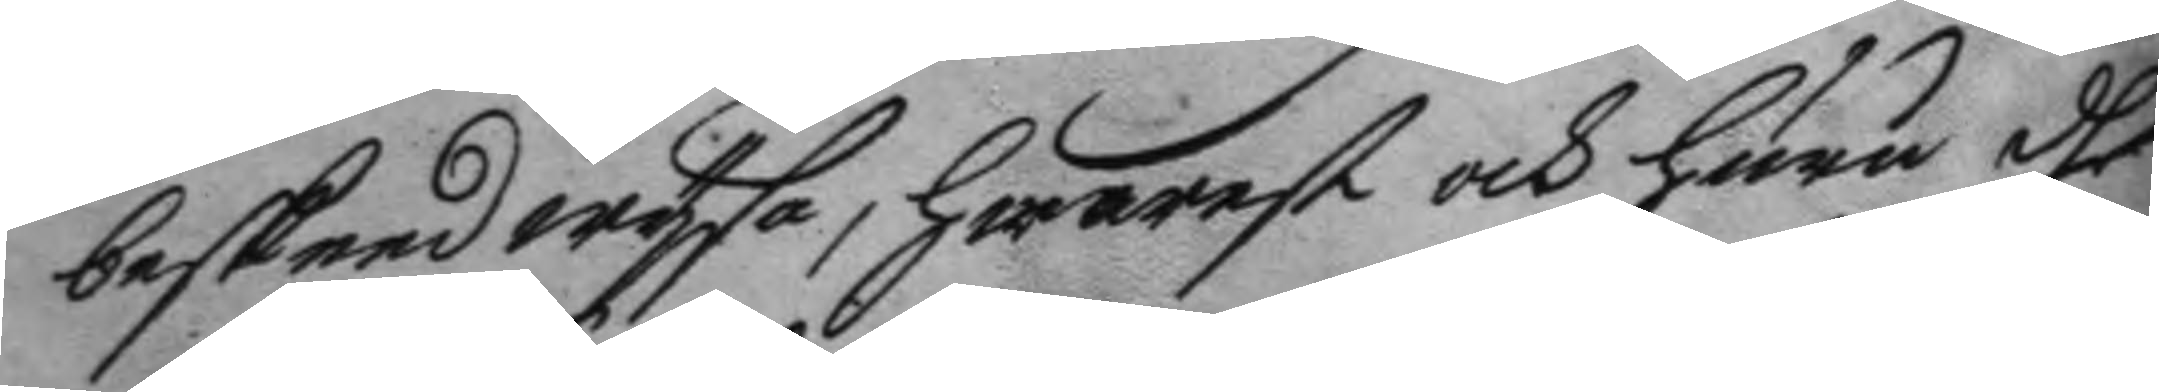beskeed wysa, hwarest och huru dhe
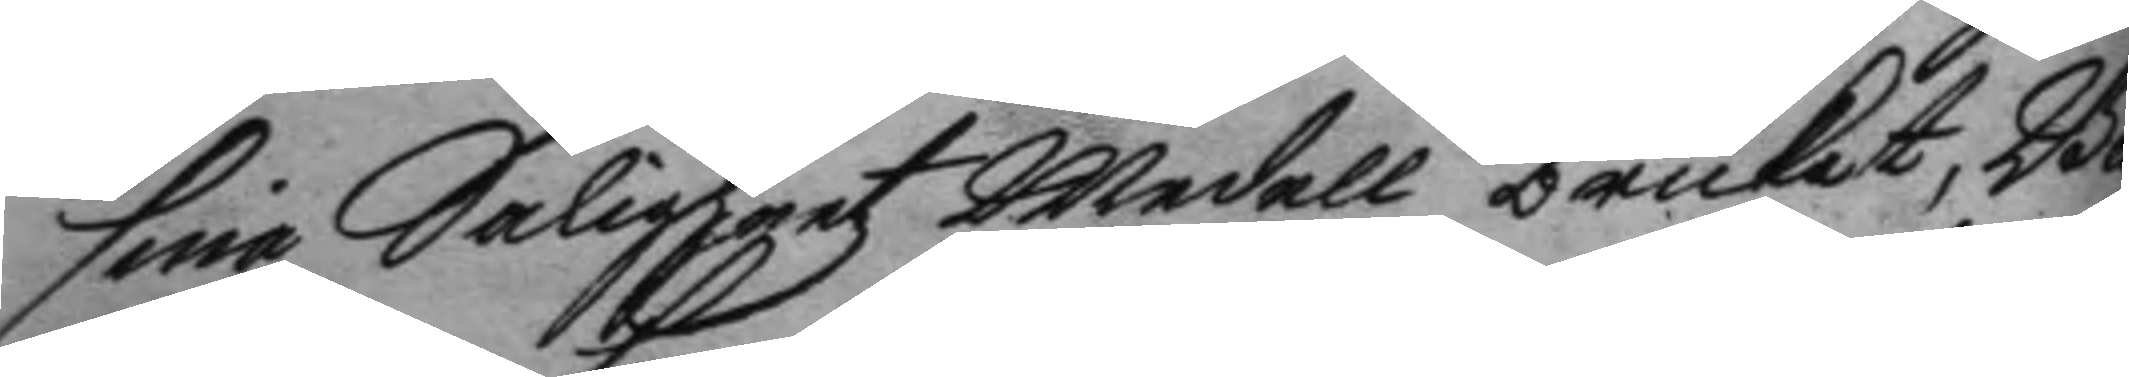sina Saligheetz Medell brukat, Bä
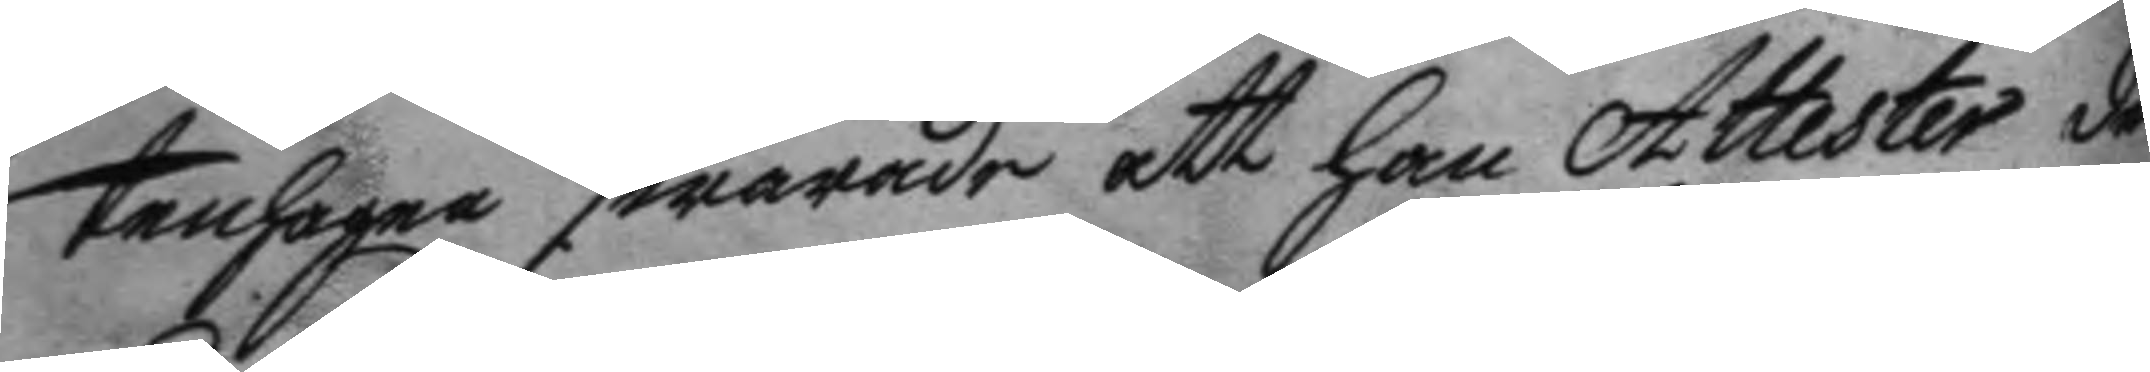tenhager swarade att han Attester der
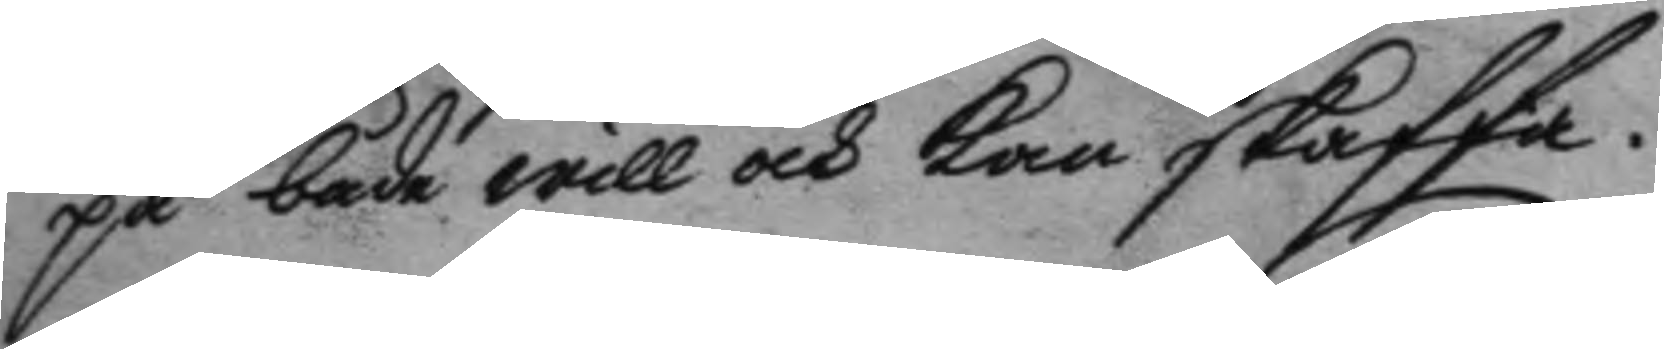på både will och kan skaffa.
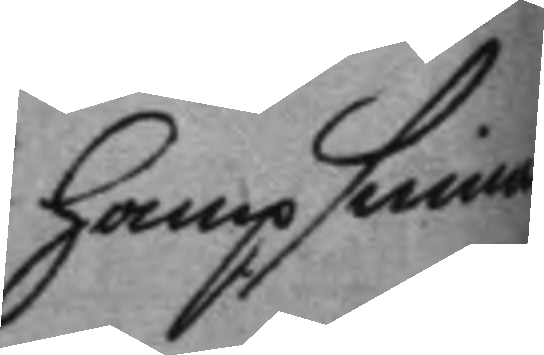hampsinnar
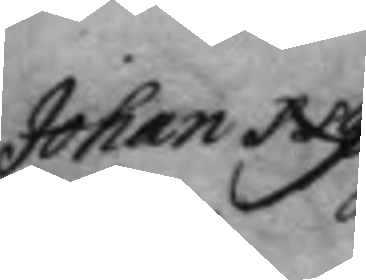Johan Ny¬
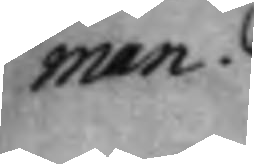man.
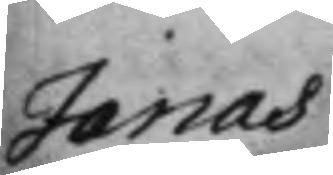Jonas
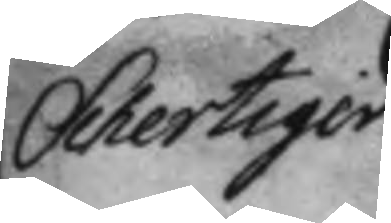Schertiger
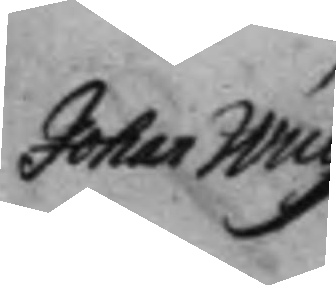Johan Wulff
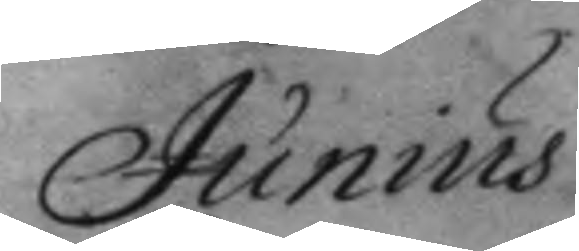Junius
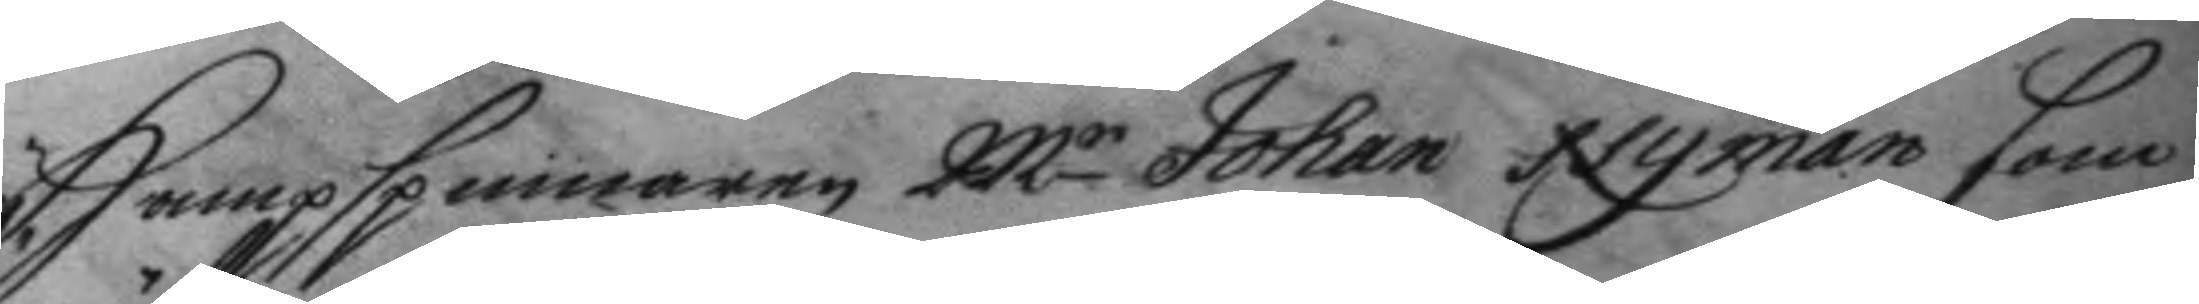Hampspinnaren Mr Johan Nyman som
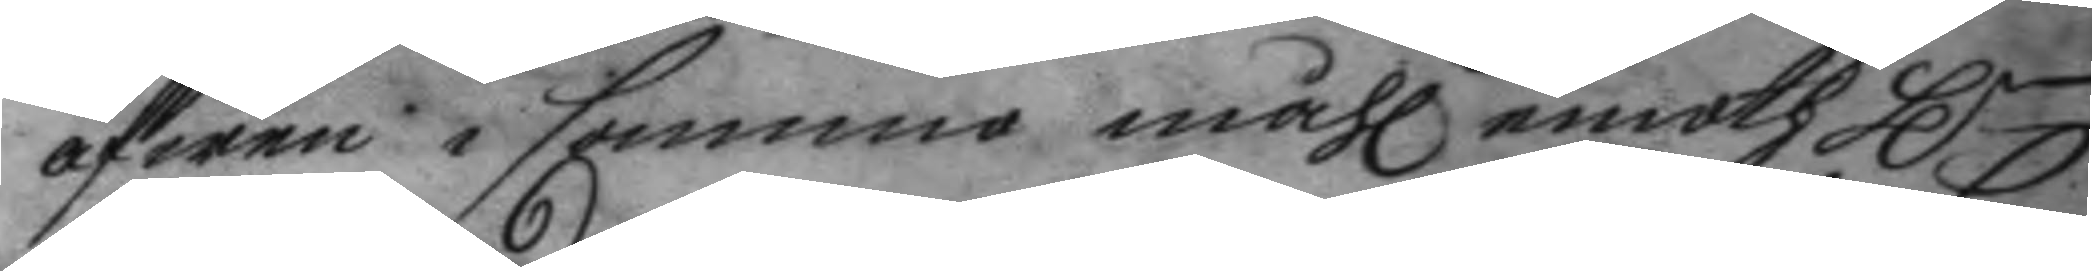äfwen i samma måhl emoth Hr
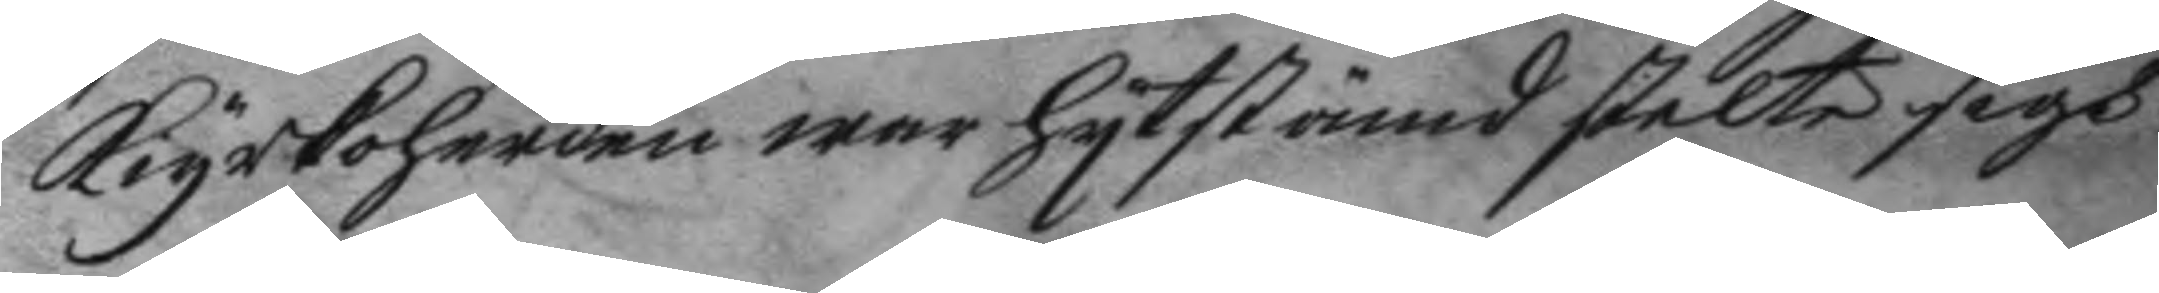kyrkoherden war hytstämd slelte sigh
